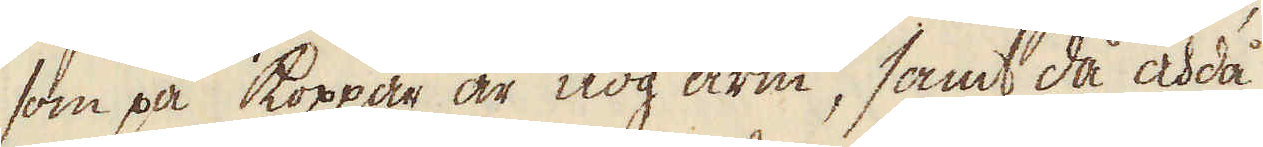som på koppar är nog arm, samt då och då
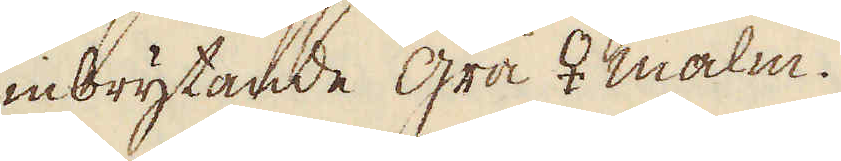inbrytande grå ♀ malm.
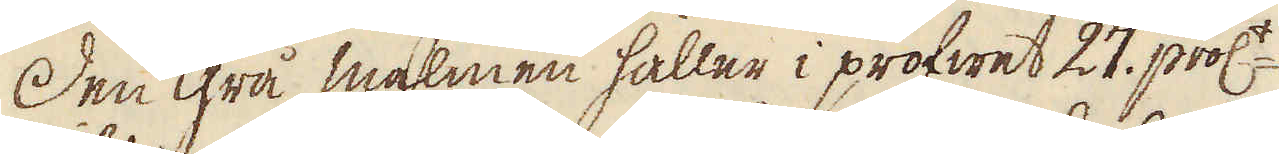Den grå malmen håller i profwet 27. proc:t.
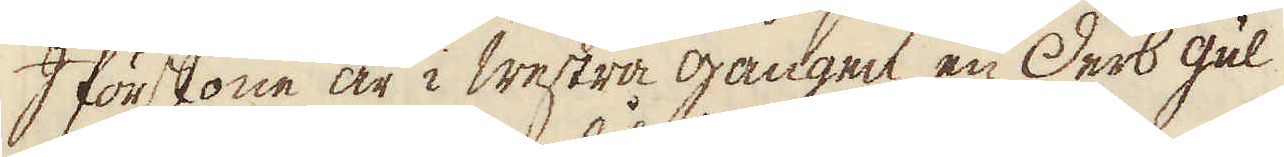I förstone är i westra gången en Derb gul
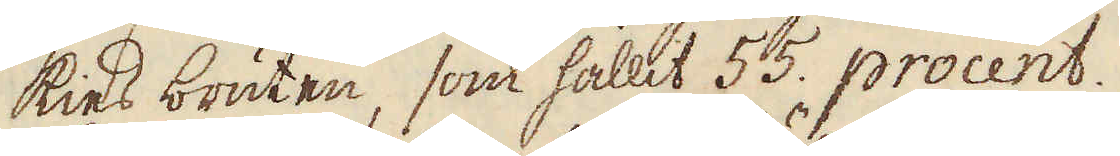kies bruten, som hållit 55. procent.
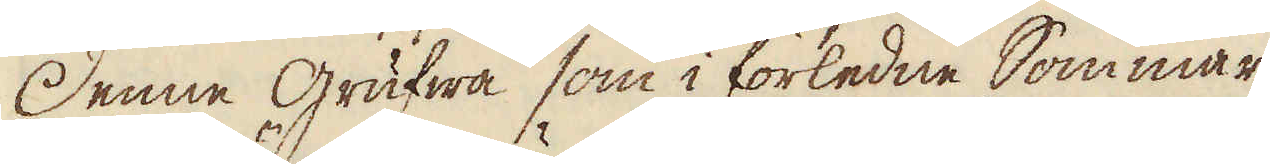Denne grufwa som i förledne Sommar
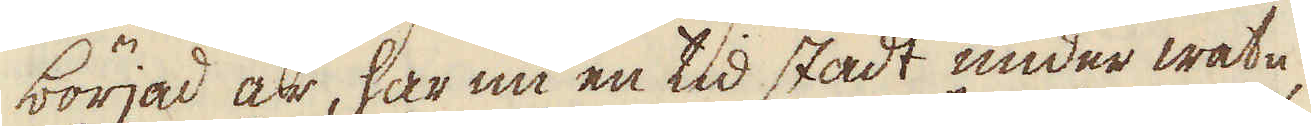börjad är, har nu en tid stådt under watn,
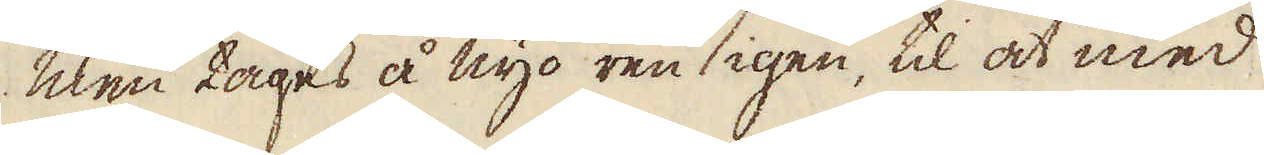men tages å nyo ren igen, til at med
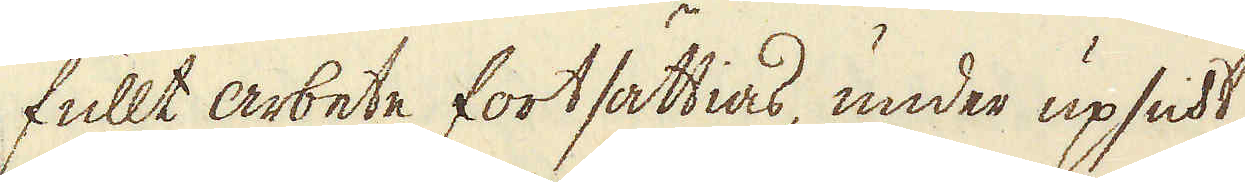fullt arbete fortsättias, under upsicht
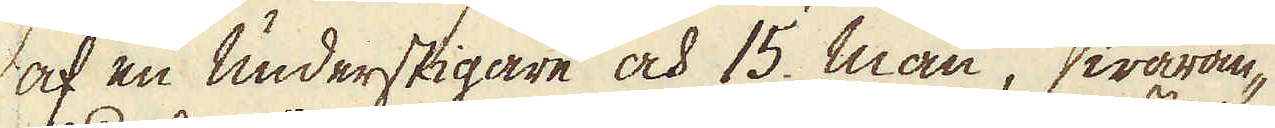af en understigare och 15. man, waran-
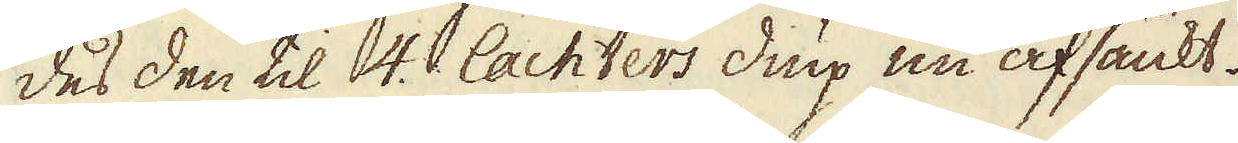des den til 4. lachters diup nu afsänkt.
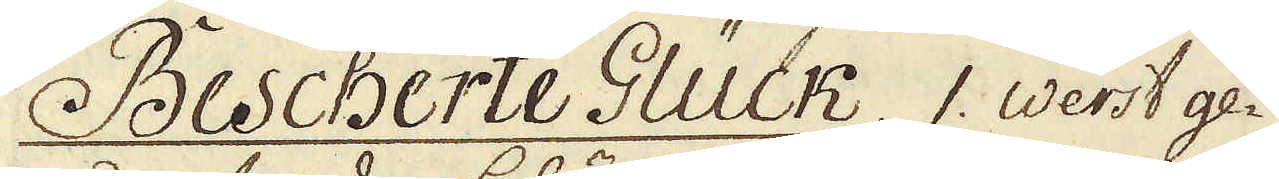Bescherte Glück. 1. werst ge-
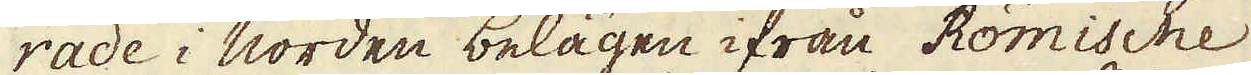rade i norden belägen ifrån Römische
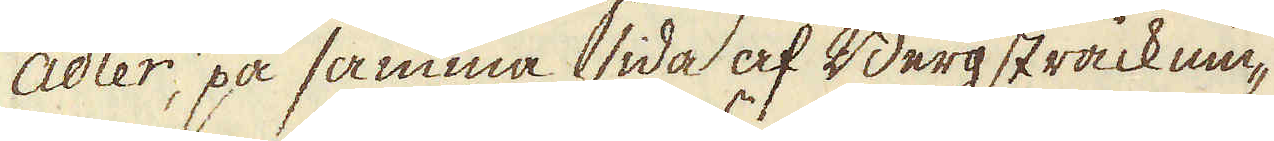Adler, på samma sida af Berg sträcknin-
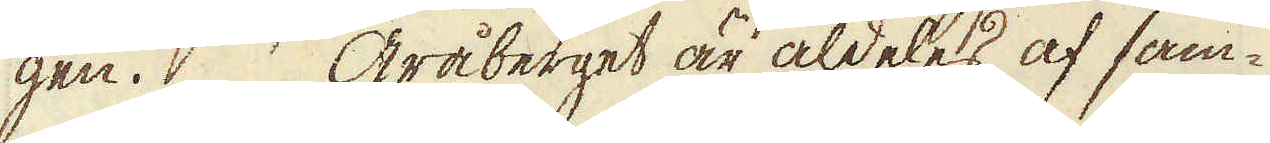gen. Gråberget är aldeles af sam-
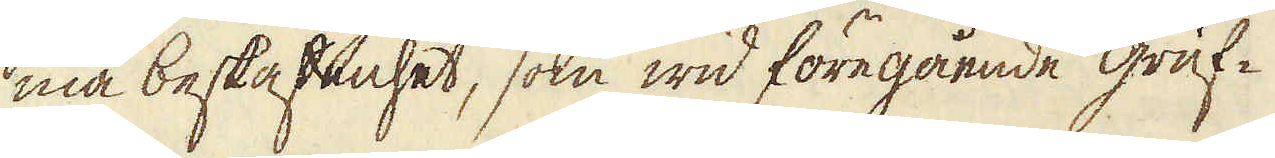ma beskaffenhet, som wid föregående gruf-
